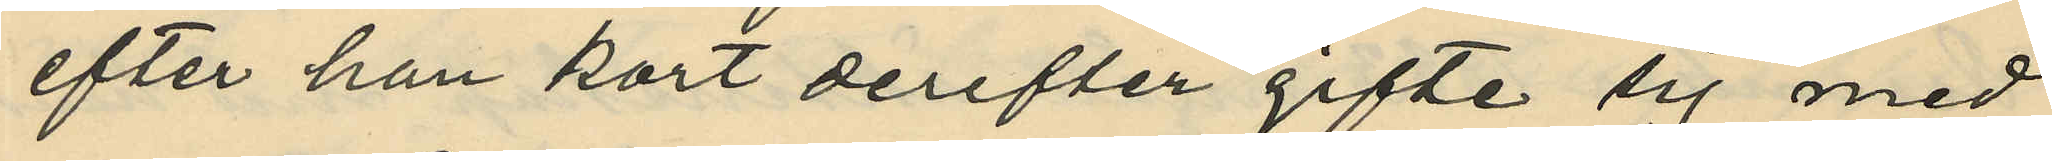efter han kort derefter gifte sig med
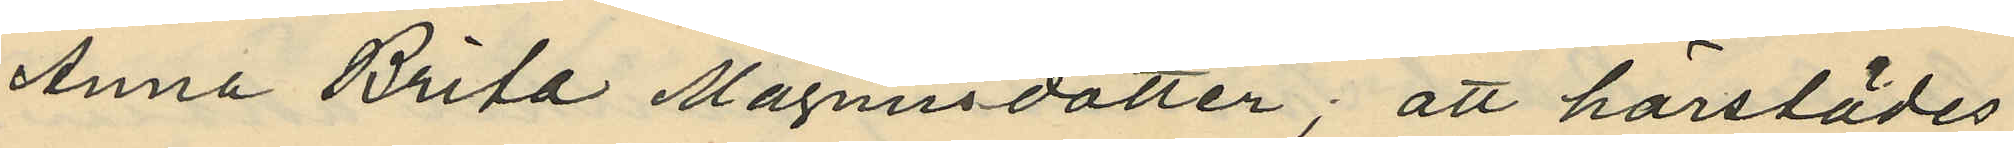Anna Brita Magnusdotter; att härstädes
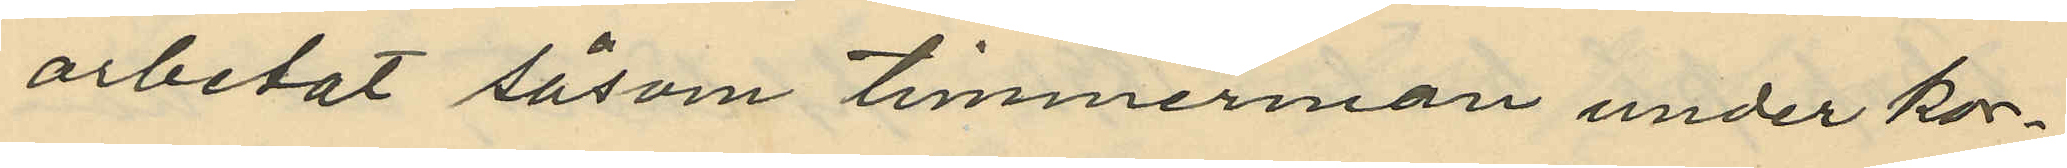arbetat såsom timmerman under kor¬
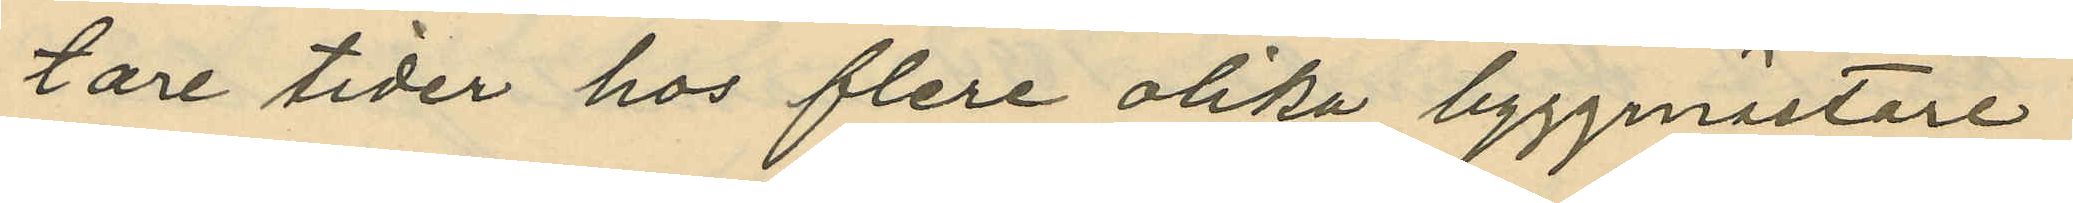tare tider hos flere olika byggmästare
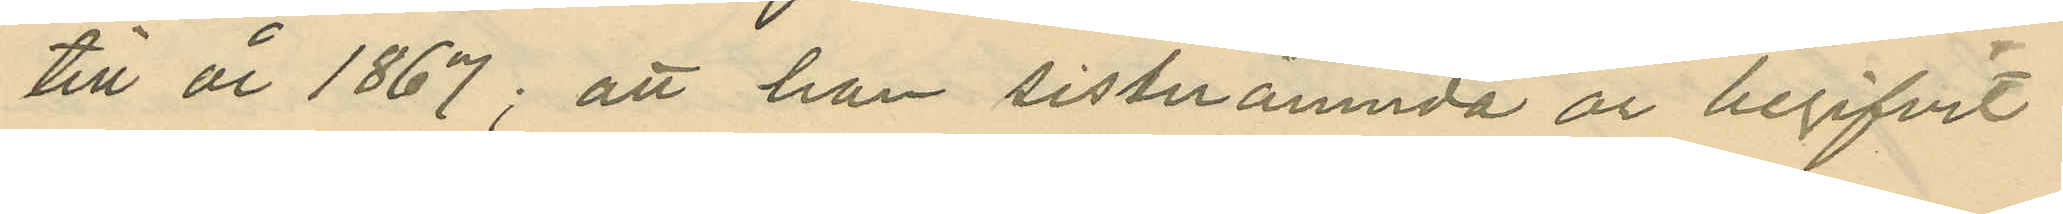till år 1867; att han sistnämnda år begifvit
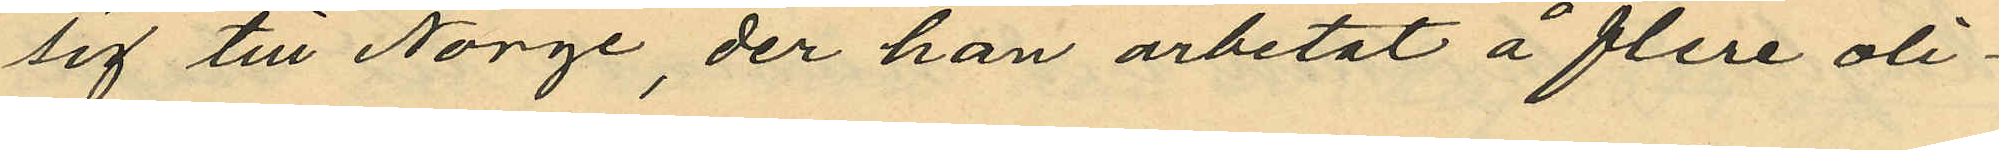sig till Norge, der han arbetat å flere oli¬
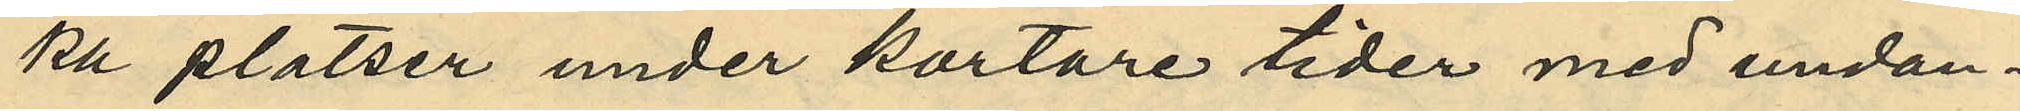ka platser under kortare tider med undan¬
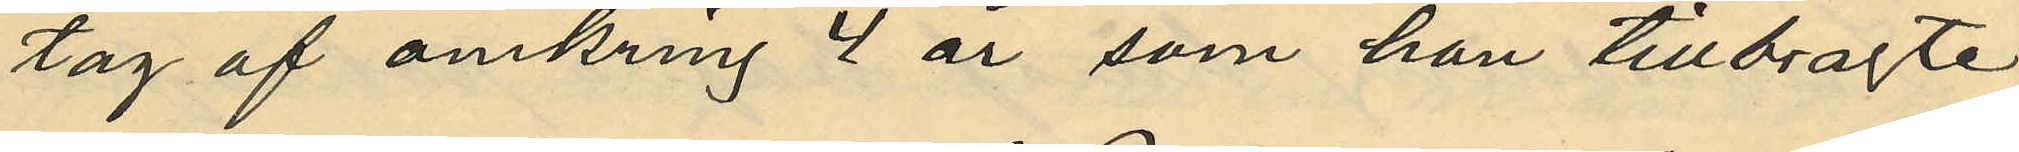tag af omkring 4 år, som han tillbragte
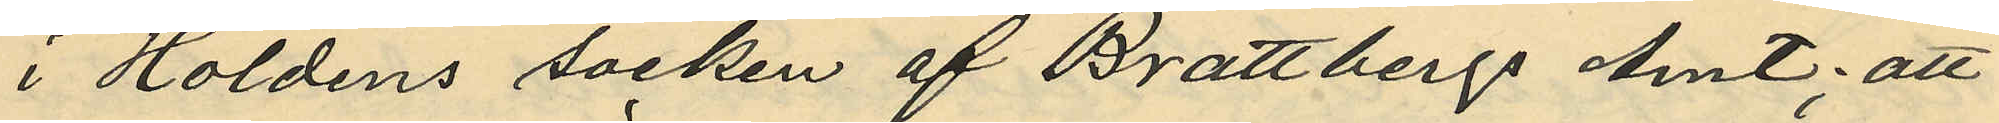i Holdens socken af Brattbergs Amt; att
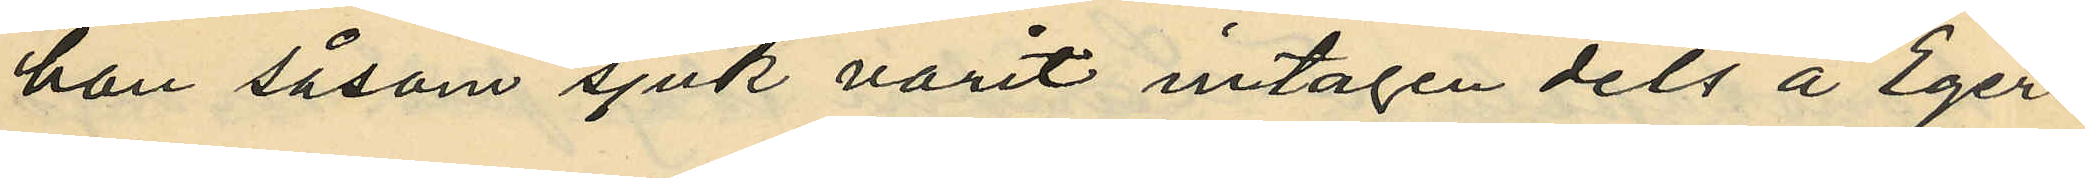han såsom sjuk varit intagen dels å Eger¬
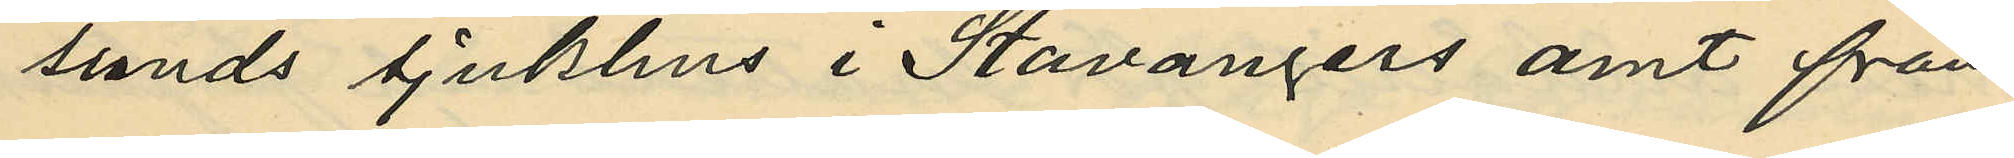sunds sjukhus i Stavangers amt från
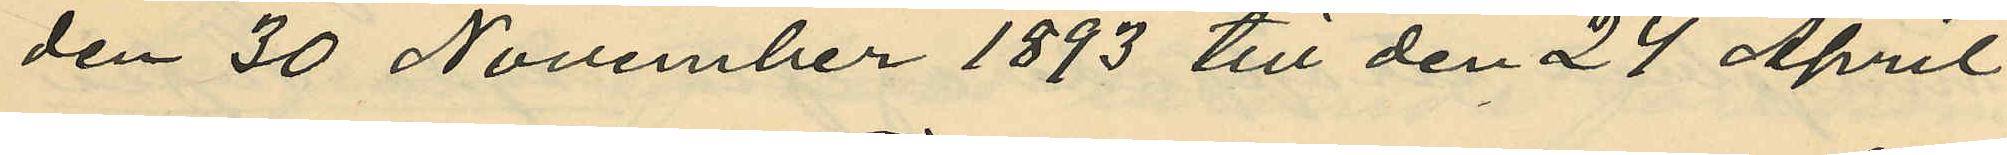den 30 November 1893 till den 24 April
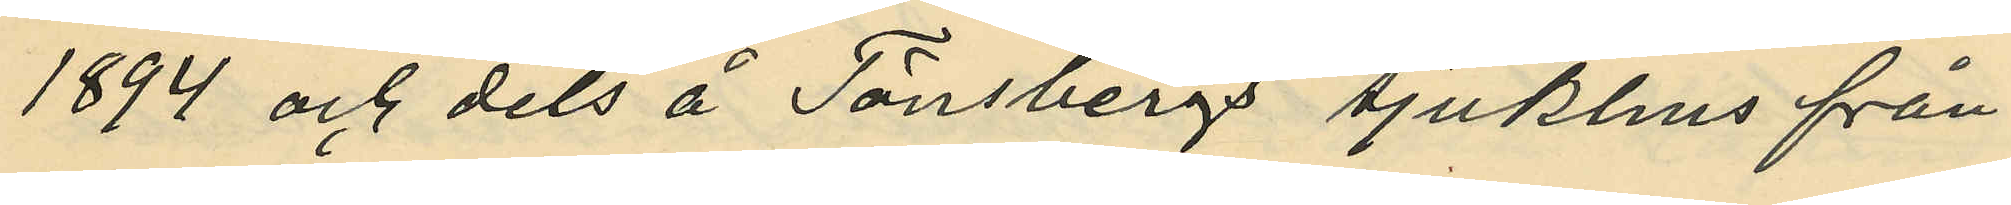1894 och dels å Tönsbergs sjukhus från
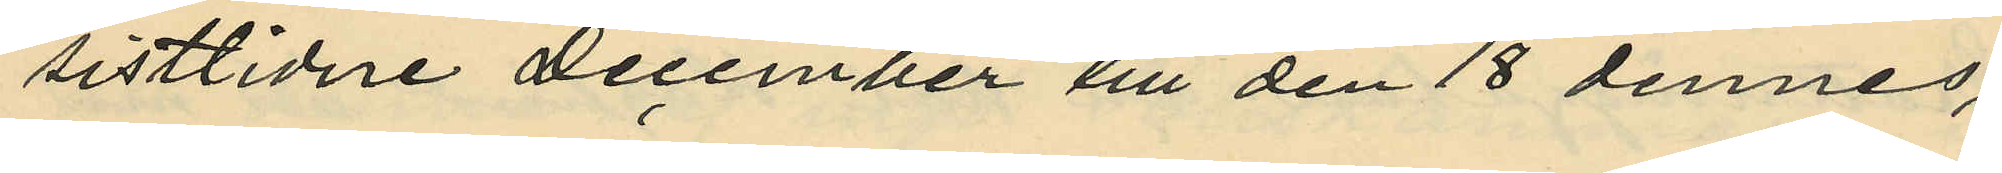sistlidne December till den 18 dennes,
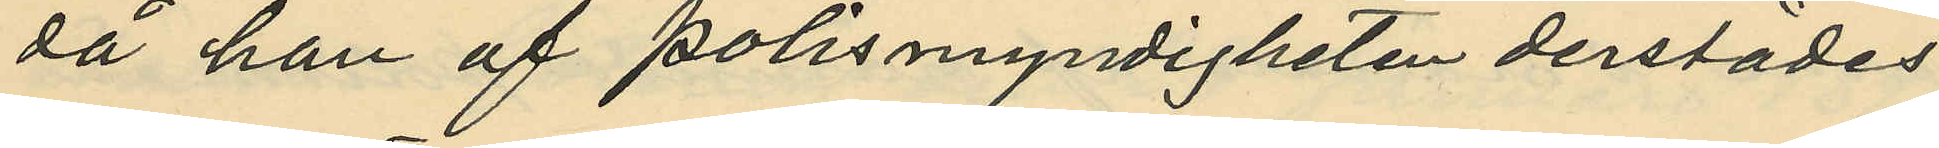då han af polismyndigheten derstädes
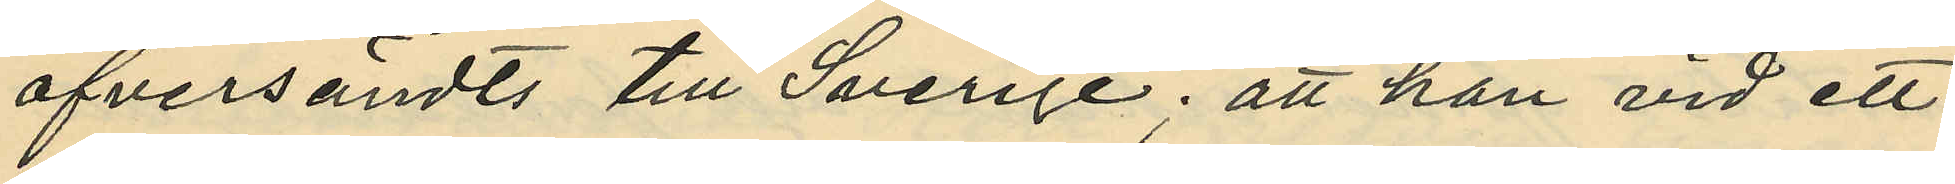öfversändts till Sverige; att han vid ett
